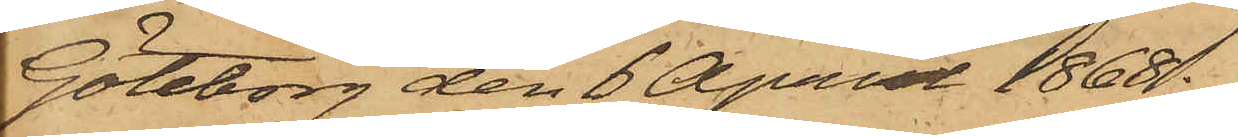Göteborg den 6 April 1868.
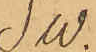SW.
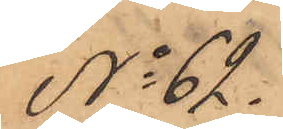No 62.
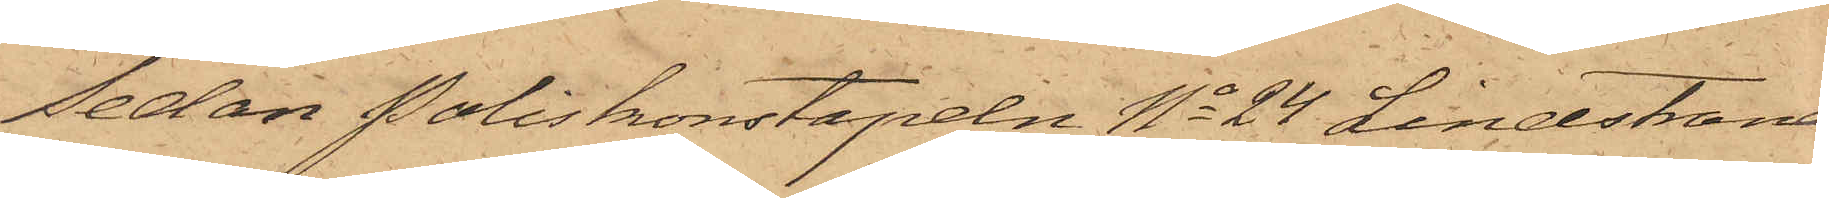Sedan Poliskonstapeln No 24 Lindstrand
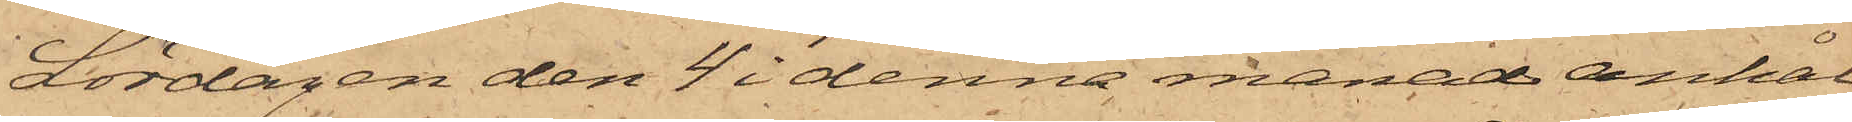Lördagen den 4 i denna månad anhål¬
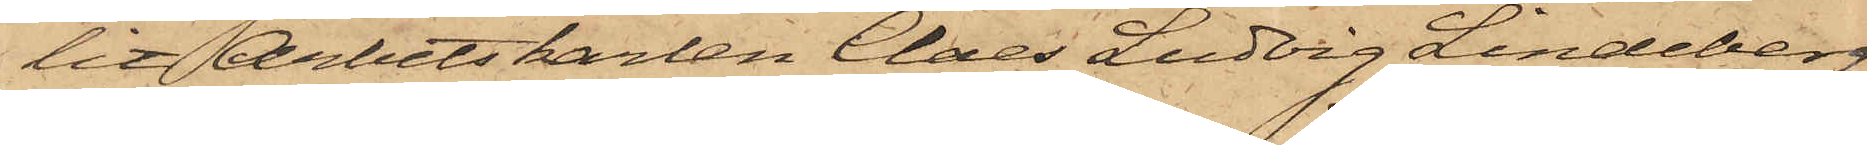lit Arbetskarlen Claes Ludvig Lindeberg,
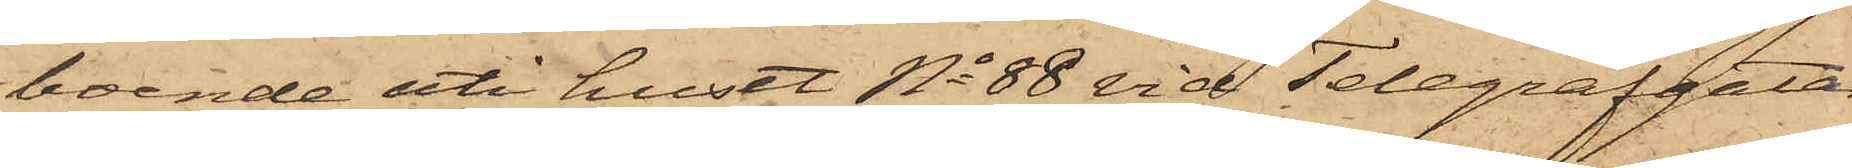boende uti huset No 88 vid Telegrafgatan,
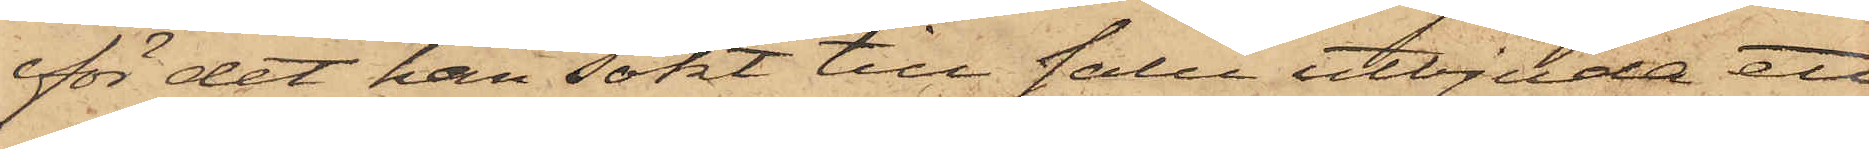för det han sökt till salu utbjuda ett
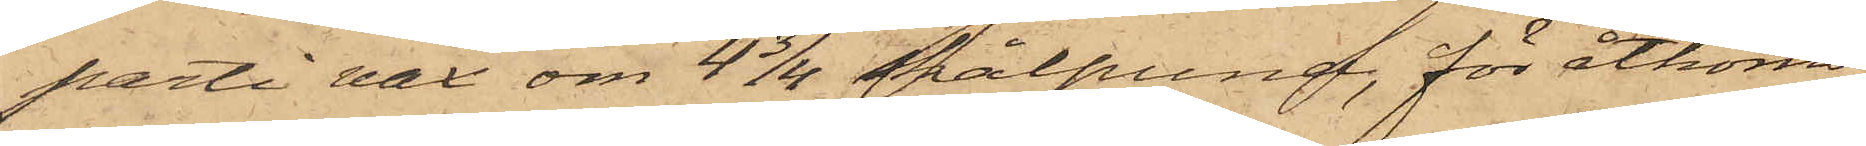parti vax om 4 3/4 skålpund, för åtkomst
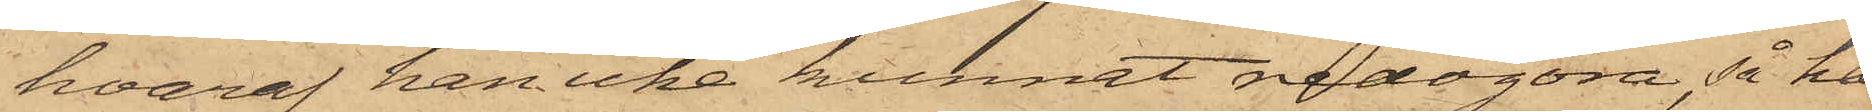hvaraf han icke kunnat redogöra, så har
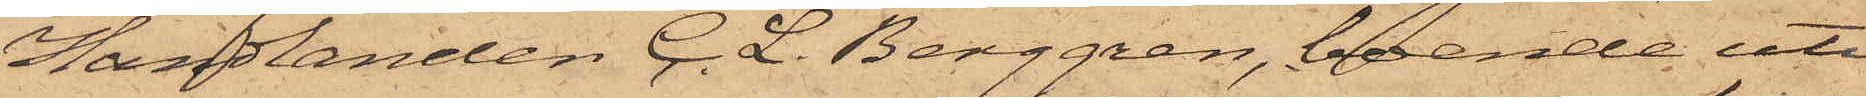Handlanden C. L. Berggren, boende uti
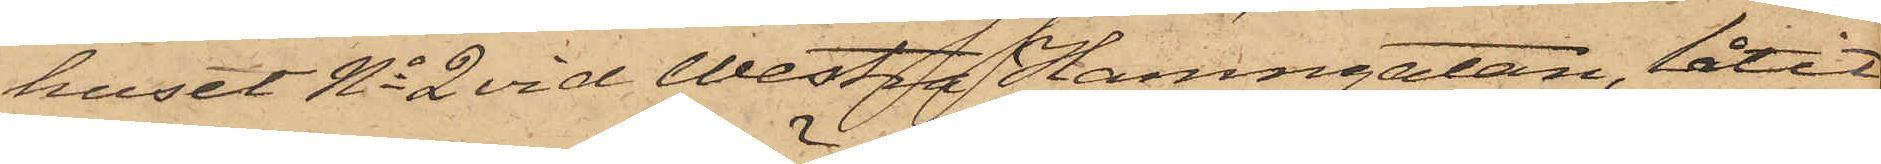huset No 2 vid Westra Hamngatan, låtit
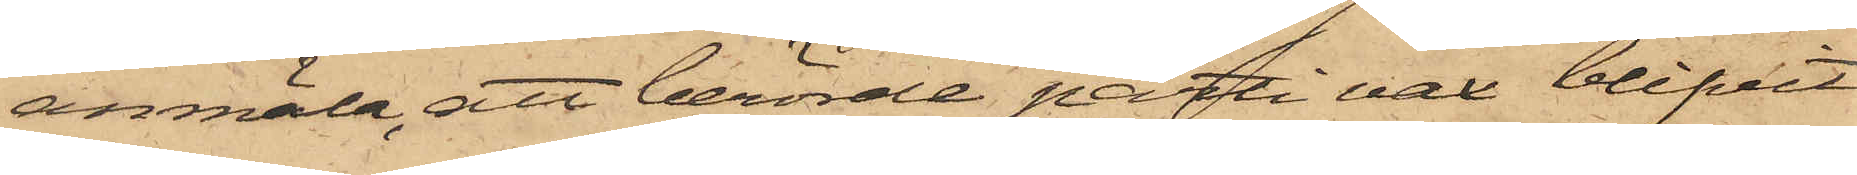anmäla, att berörde parti vax blifvit
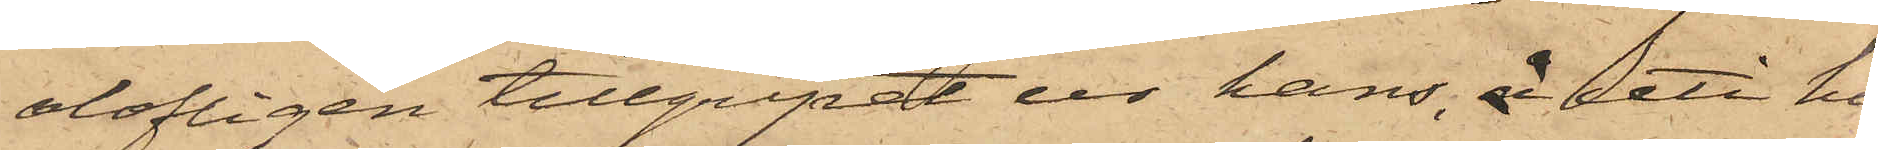olofligen tillgripit ur hans, å uti hu¬
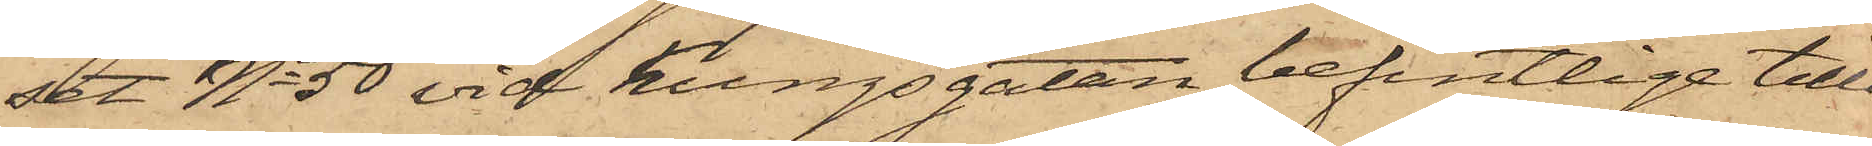set No 50 vid Kungsgatan befintliga tillå¬
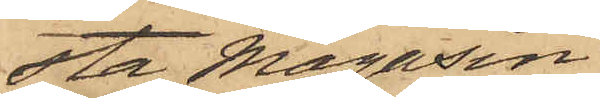sta Magasin.
